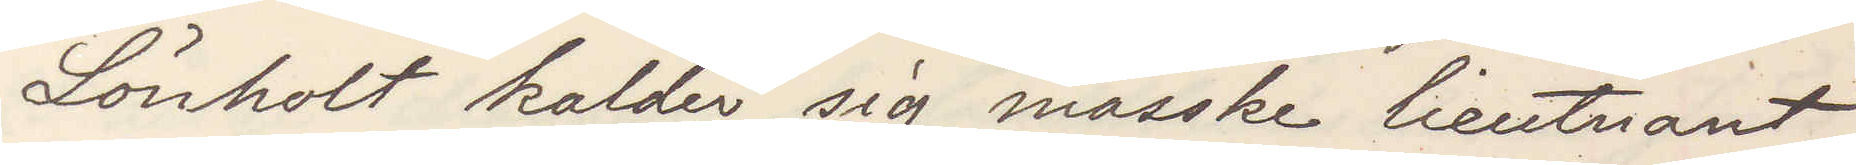Lönholt kalder sig masske lieutnant
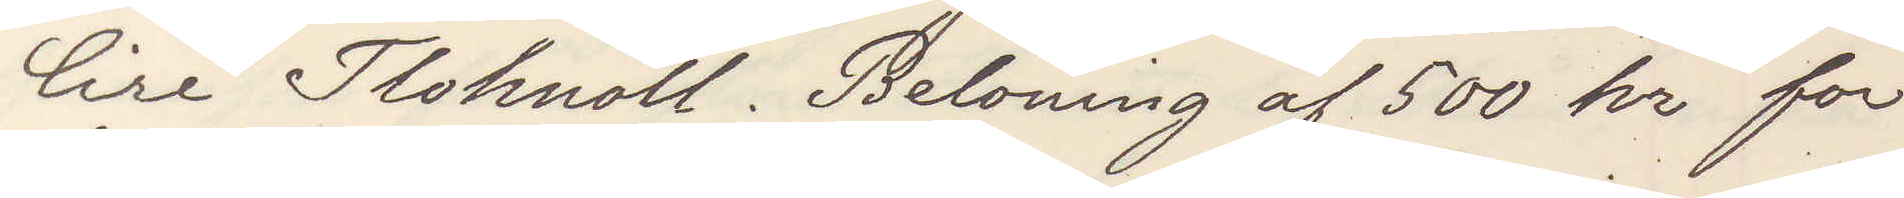Ciré Tlohnöll. Belöning af 500 kr for
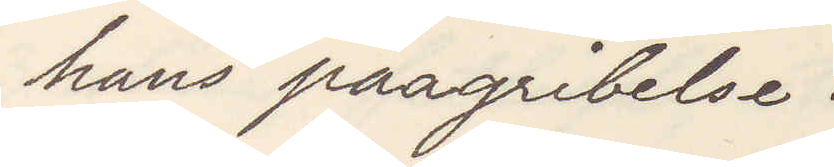hans paagribelse.
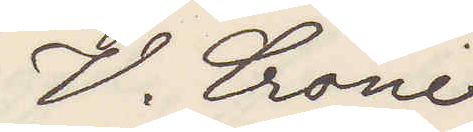V. Crone
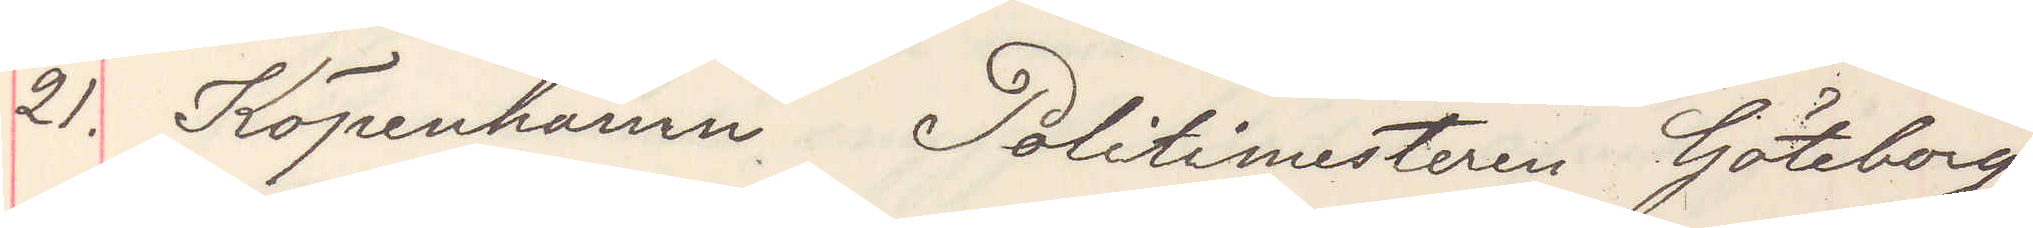21. Köpenhamn Politimesteren Göteborg
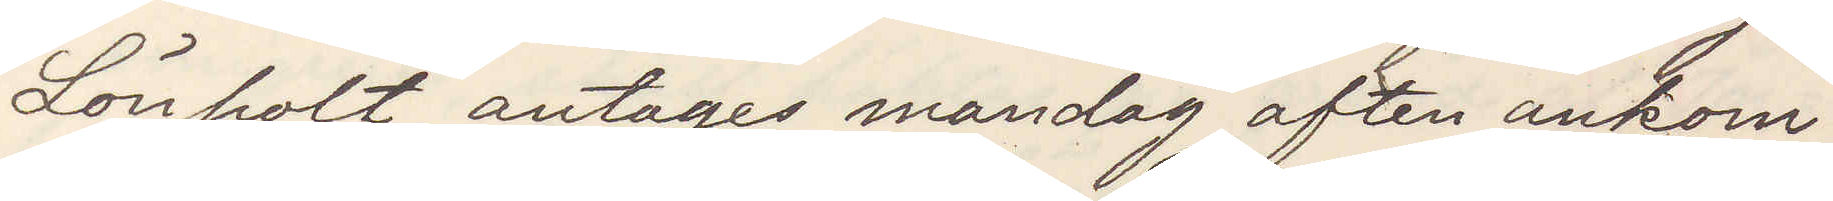Lönholt antages mandag aften ankom¬
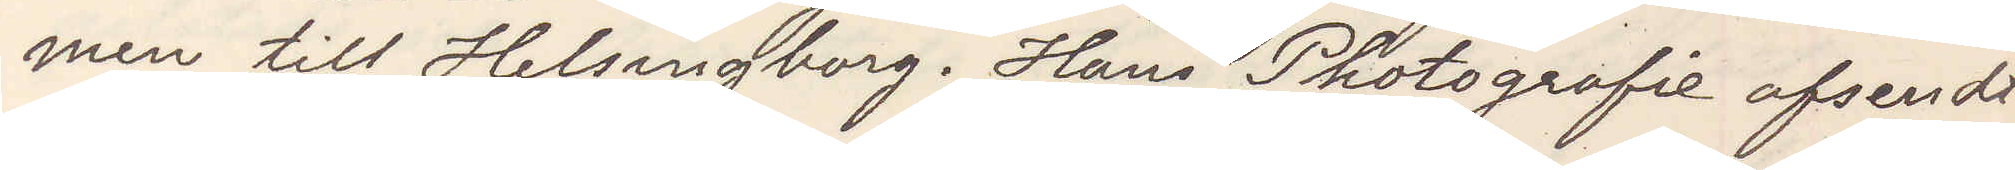men till Helsingborg. Hans Photografie afsendt
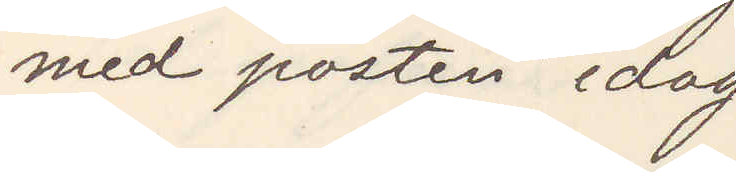med posten idag
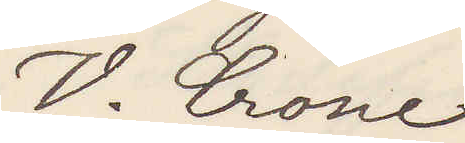V. Crone
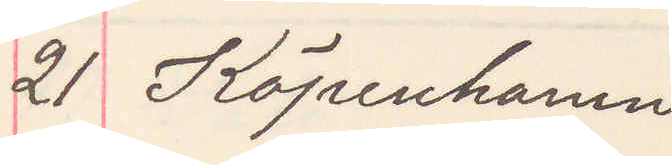21 Köpenhamn
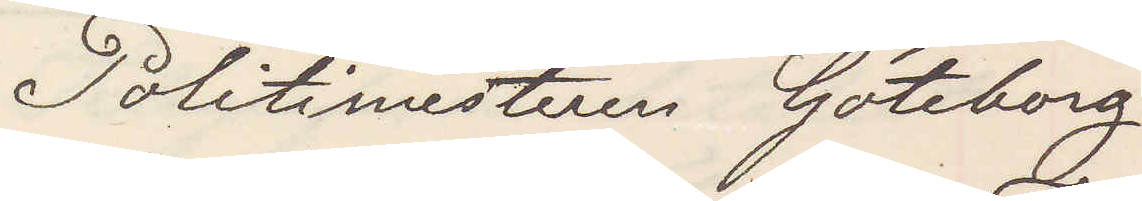Politimesteren Göteborg
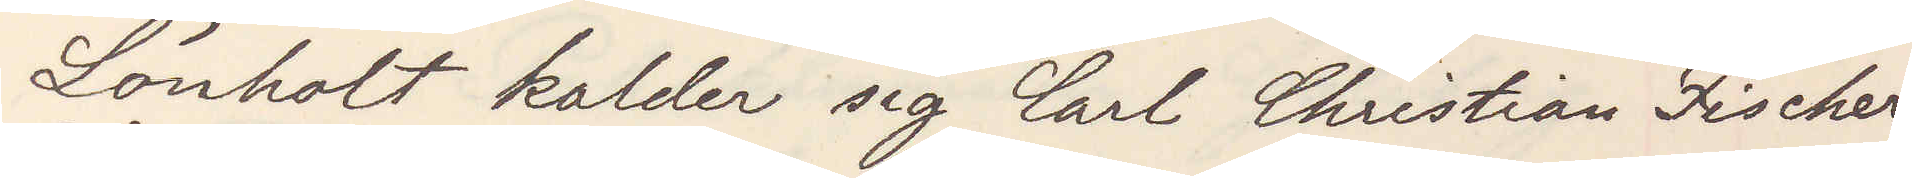Lönholt kalder sig Carl Christian Fischer,
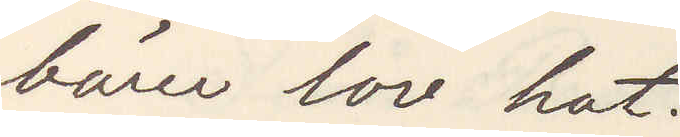bärer lov hat.
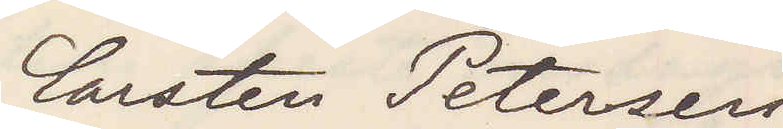Carsten Petersen
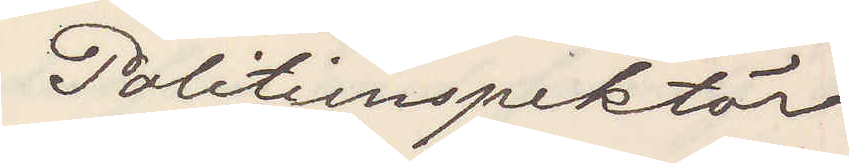Politiinspektör
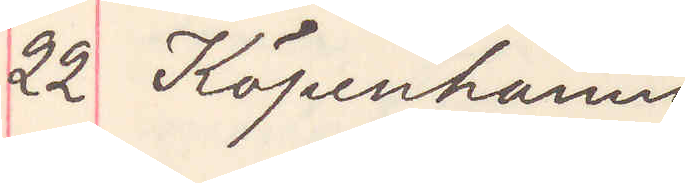22 Köpenhamn
